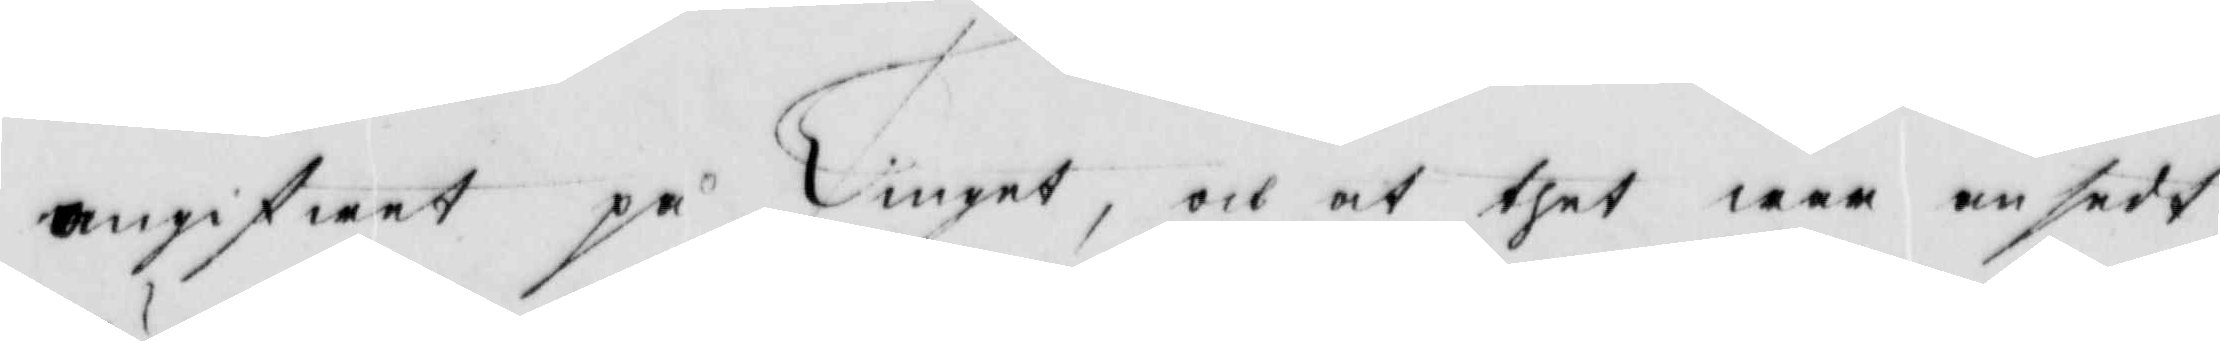angifwet på Tinget, och at thet wer ensedh
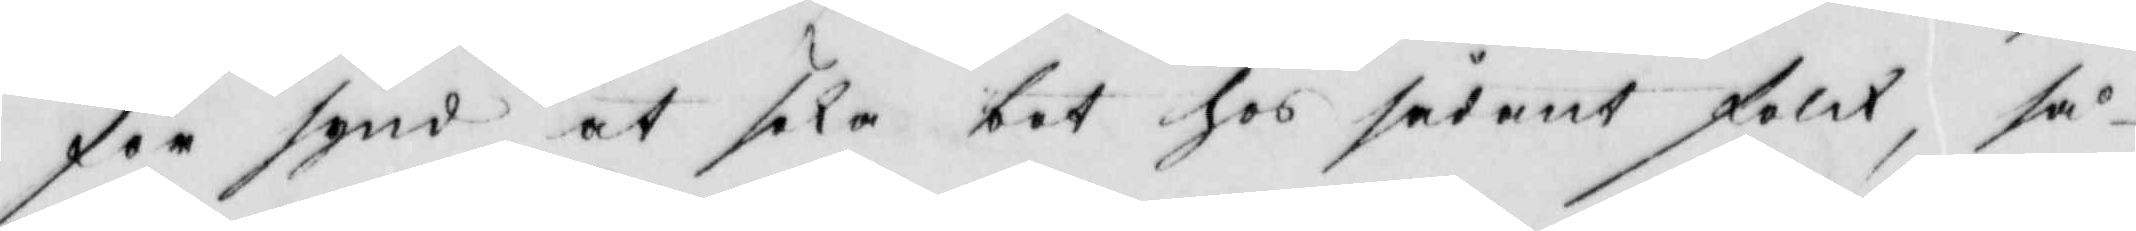för synde at sela bet hos sedant folck, så¬
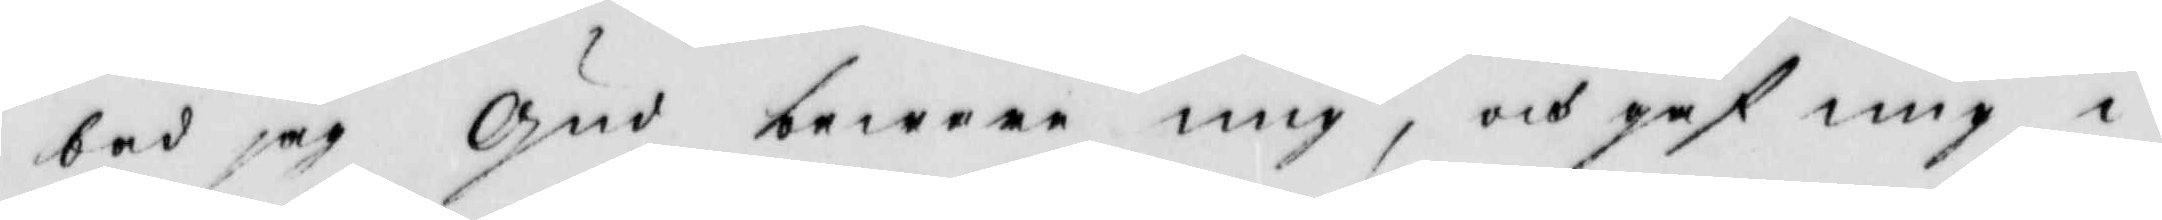bad jag Gud bewore mig, och gaf mig i
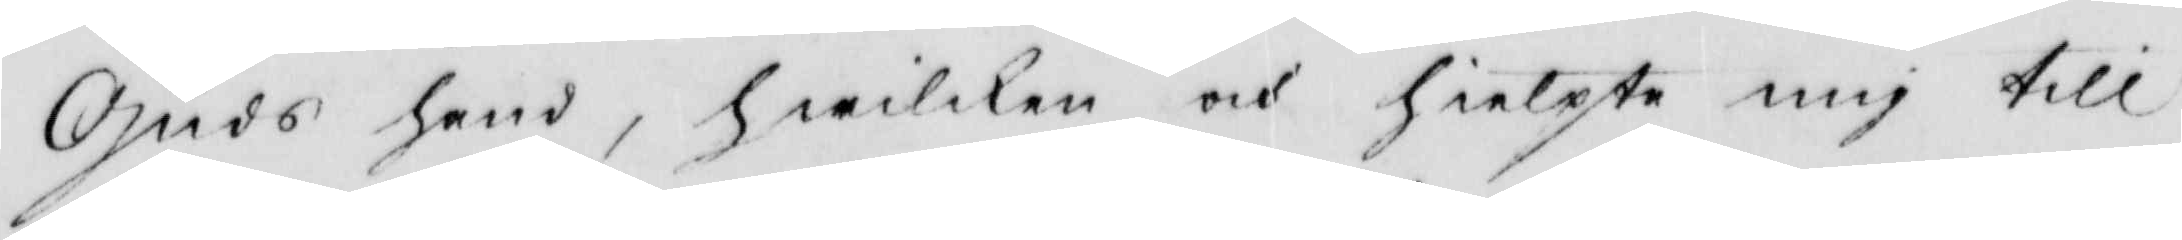Guds hand, hwilken och Hielpte mig till
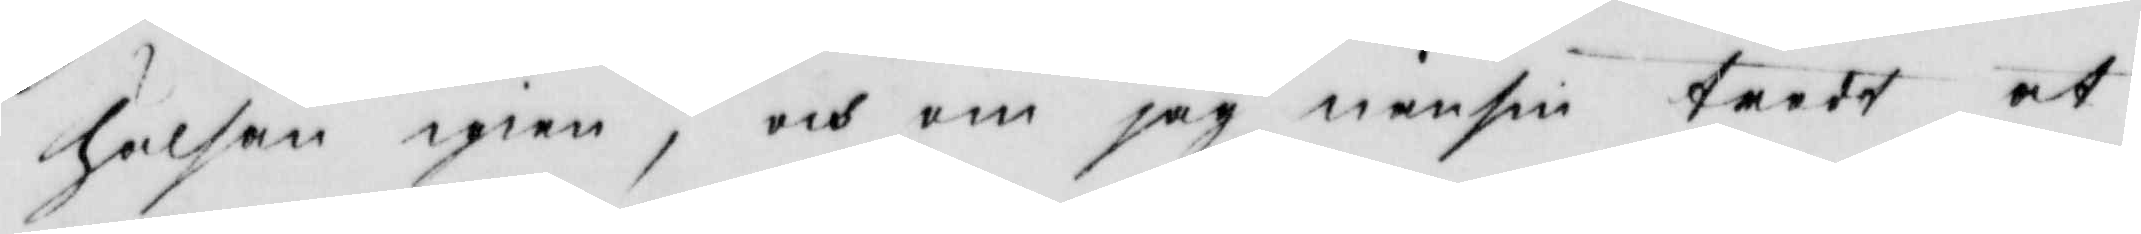Halhan igien, och om jag nensin tardt at
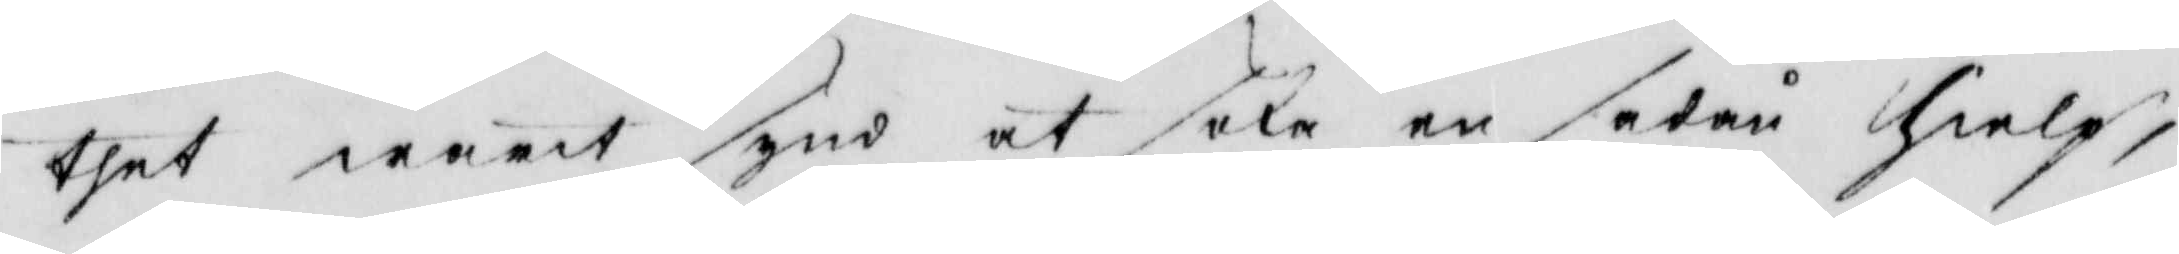thet warit synd at sake en setår hielp,
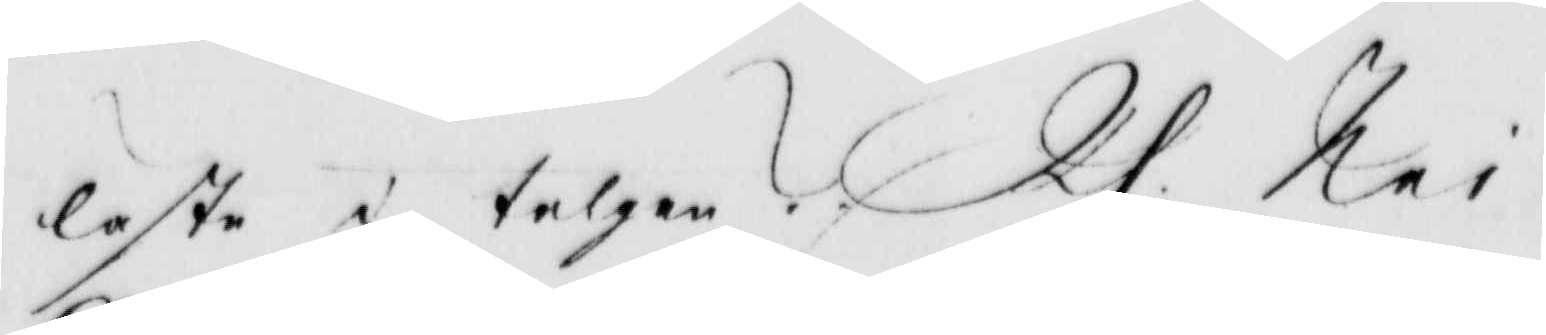läste i talgen? Rs: Nei.
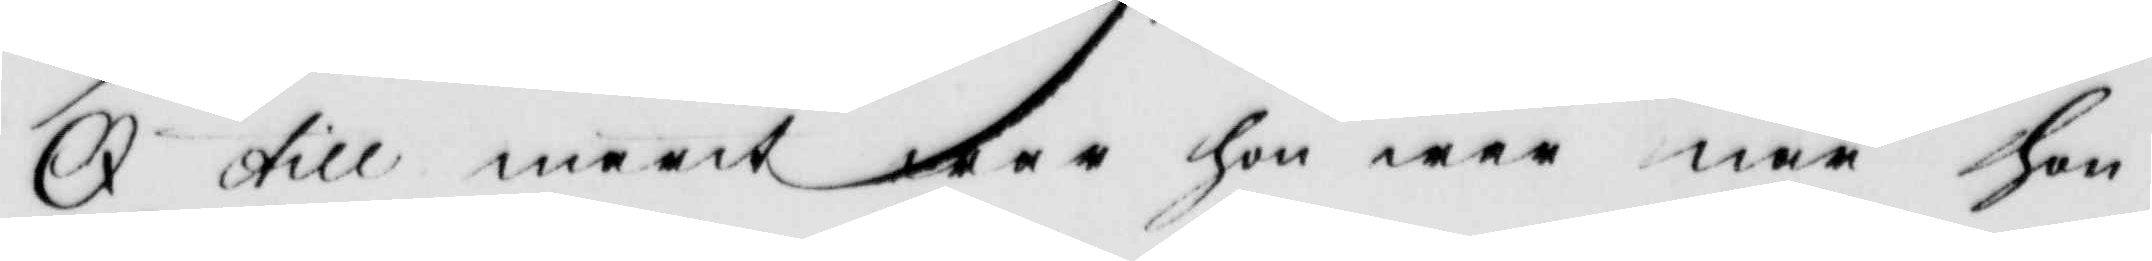Q: till marit war hon war när hon
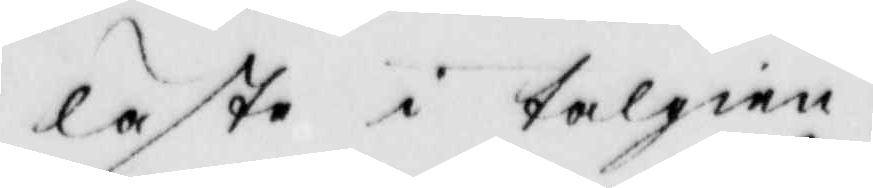läste i talgien.
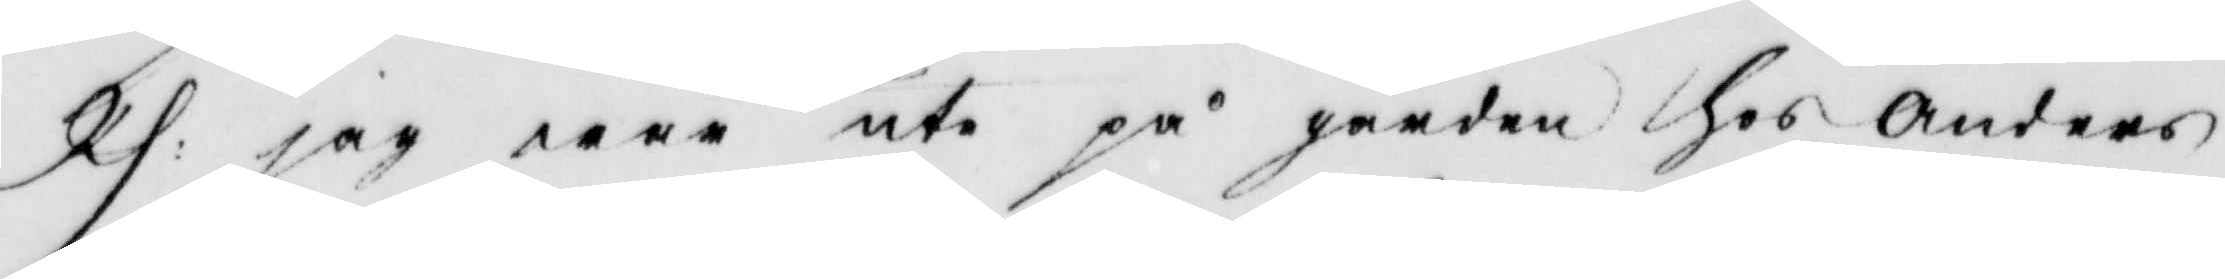Rs: jag war ute på gården hos Anders
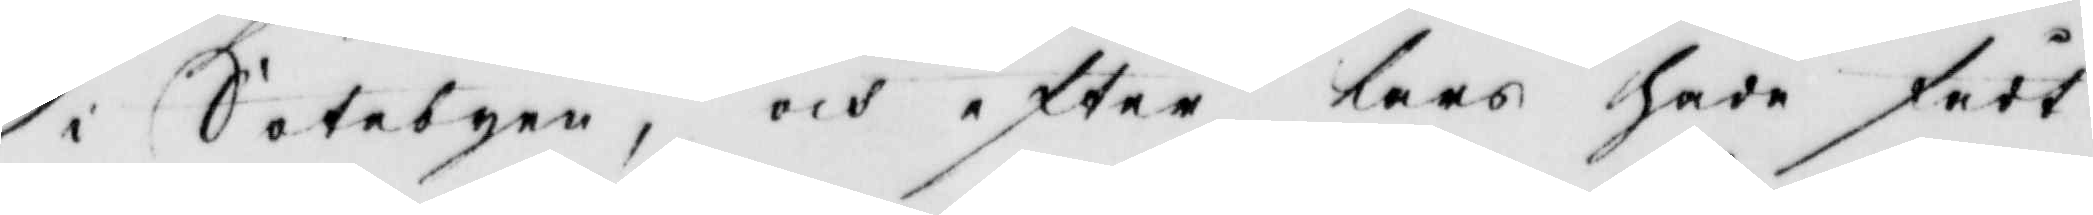i Sotebyen, och efter Lars hade fådt
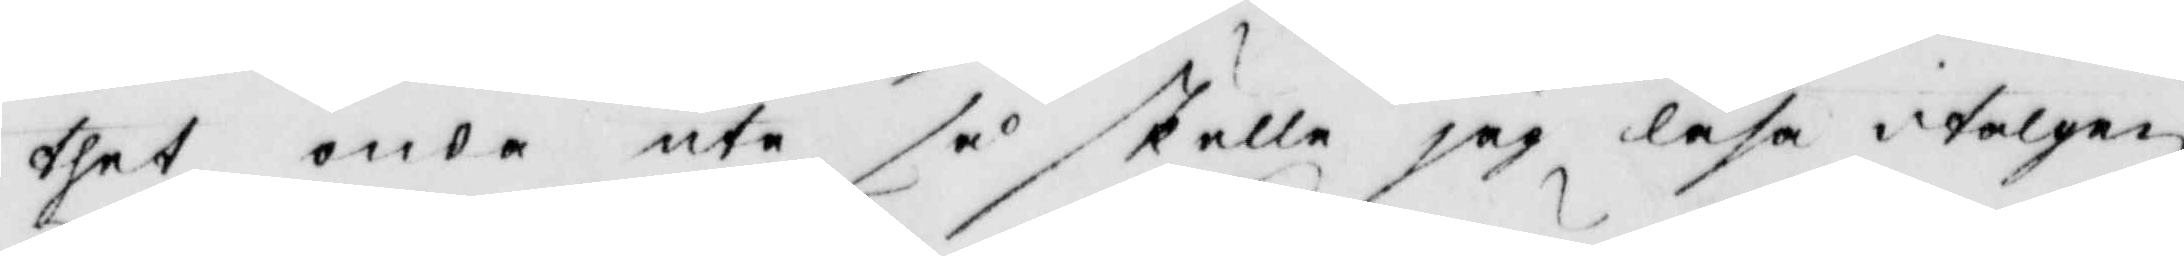thet onda ute så skulle jag läsa i talgen
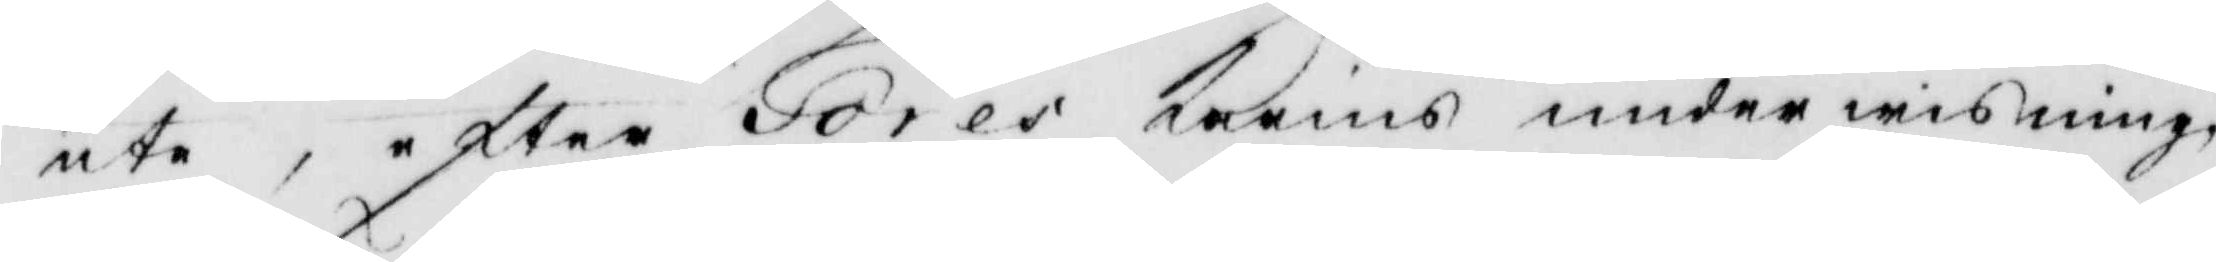ute, efter Tores Karins underwisning,
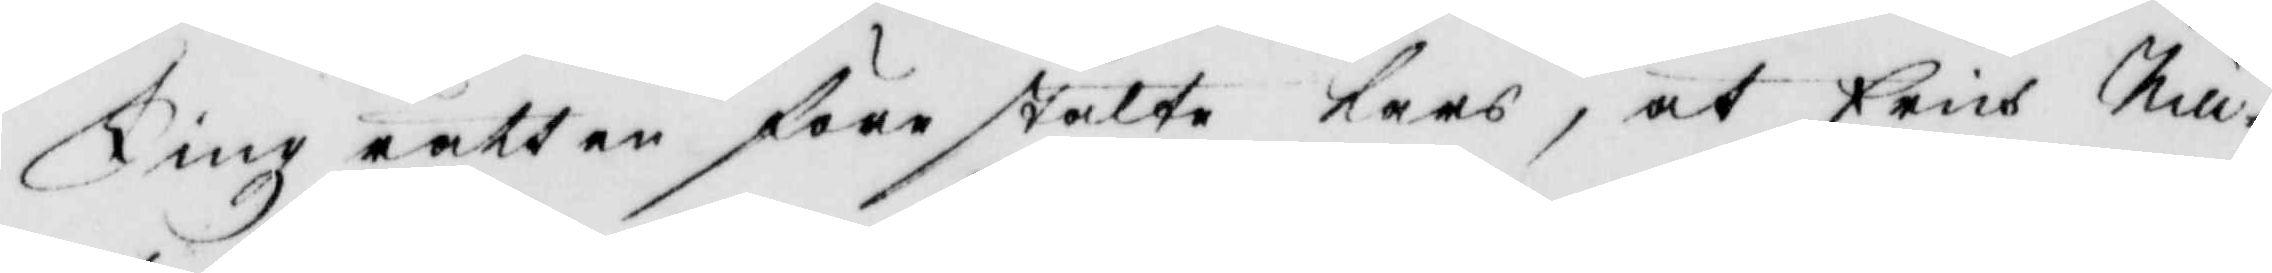Tingz rätten förestälte Lars, at Erich Nill¬
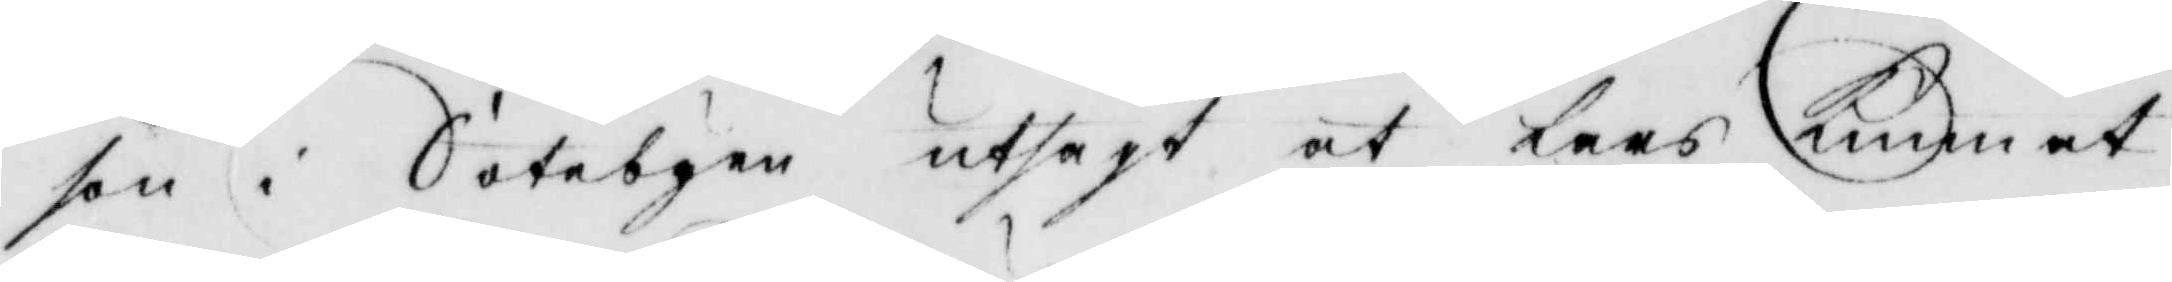son i Sotebyen utsagt at Lars Kunnat
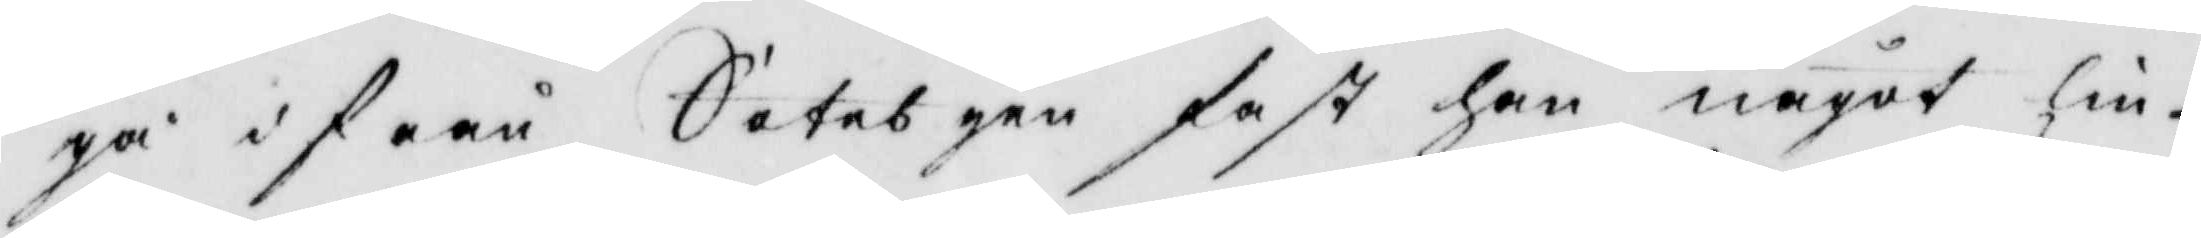gå ifrån Sotesbyen fast han något lin¬
